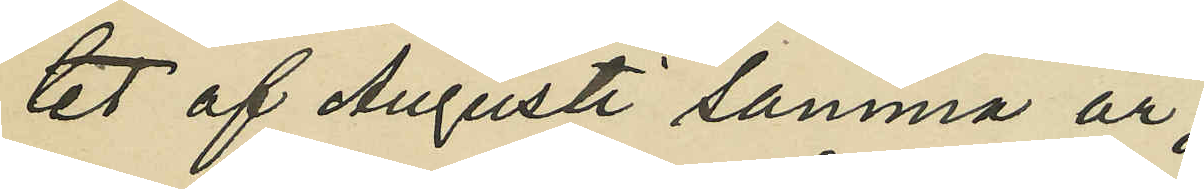tet af Augusti samma år;
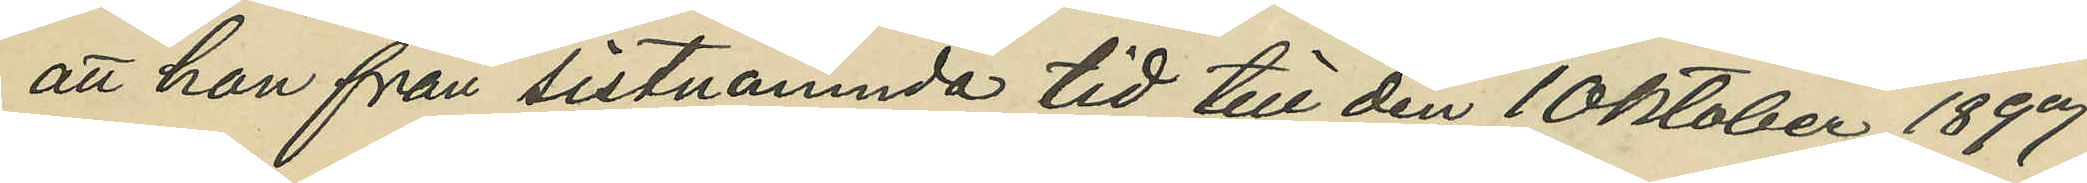att hon från sistnämnda tid till den 10 Oktober 1897
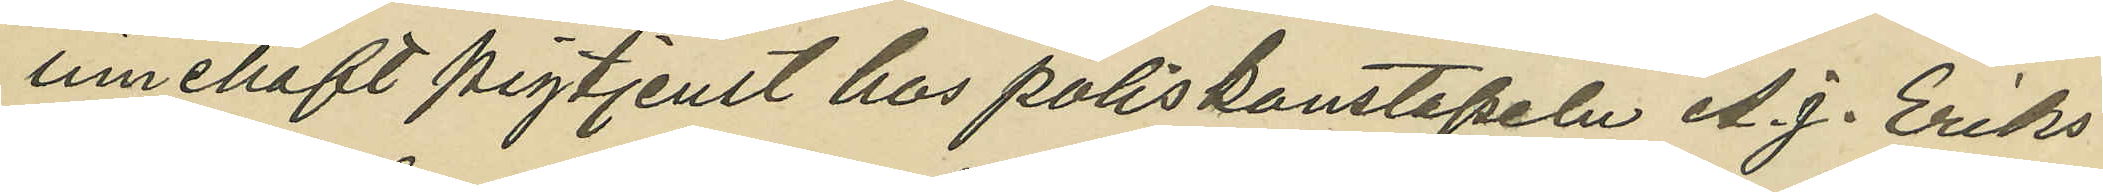innehaft pigtjenst hos poliskonstapeln A. J. Eriks¬
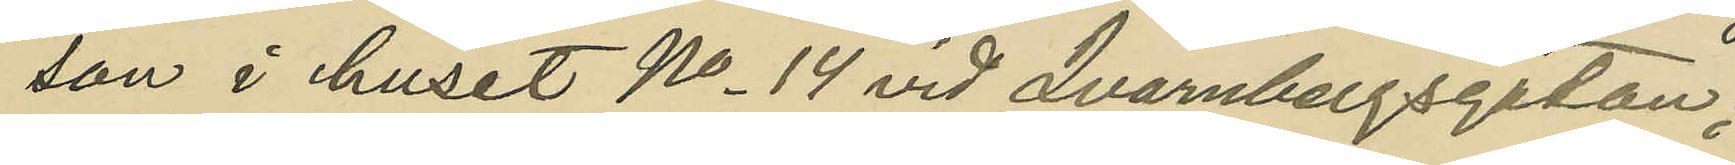son i huset No 14 vid Qvarnbergsgatan;
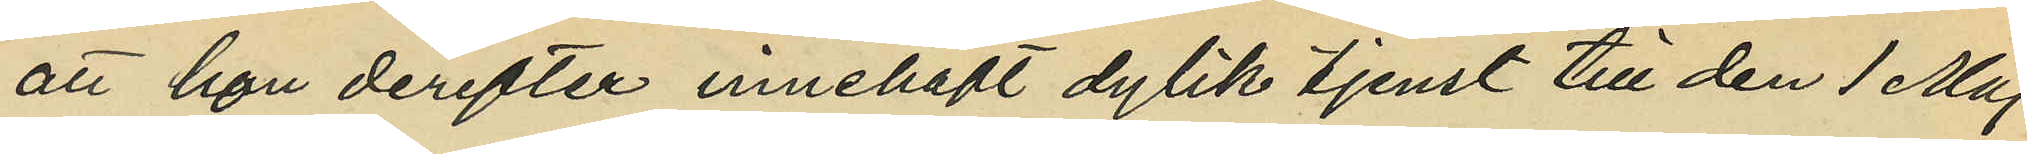att hon derefter innehaft dylik tjenst till den 1 Maj
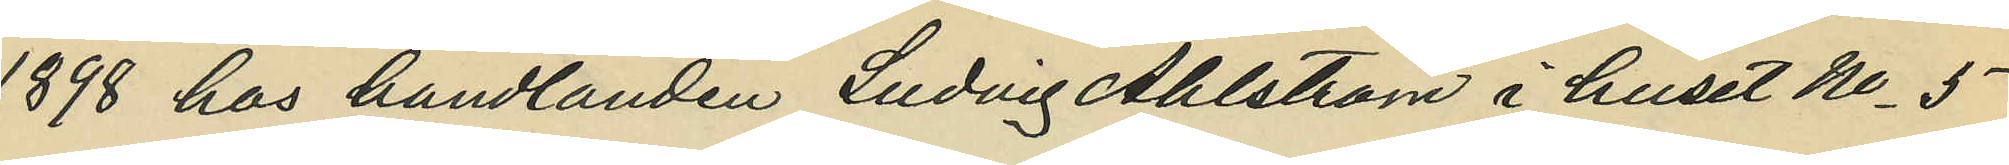1898 hos handlanden Ludvig Ahlström i huset No 5
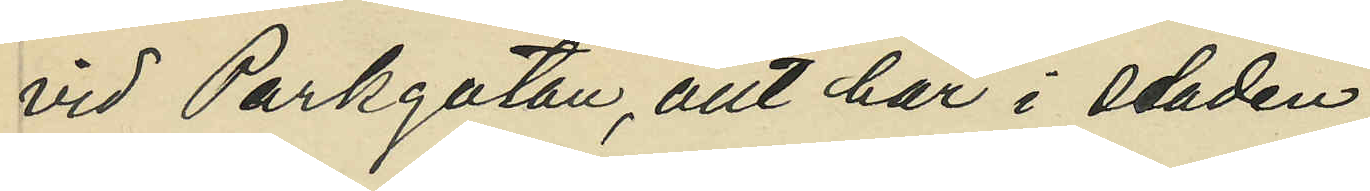vid Parkgatan, allt här i staden;
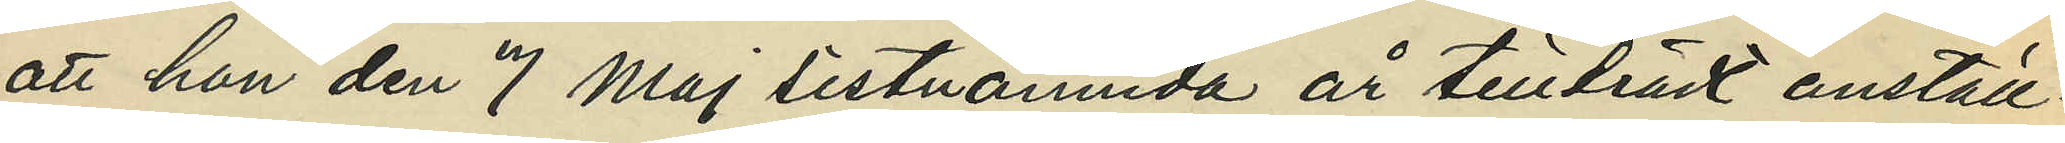att hon den 7 Maj sistnämnda år tillträdt anställ¬
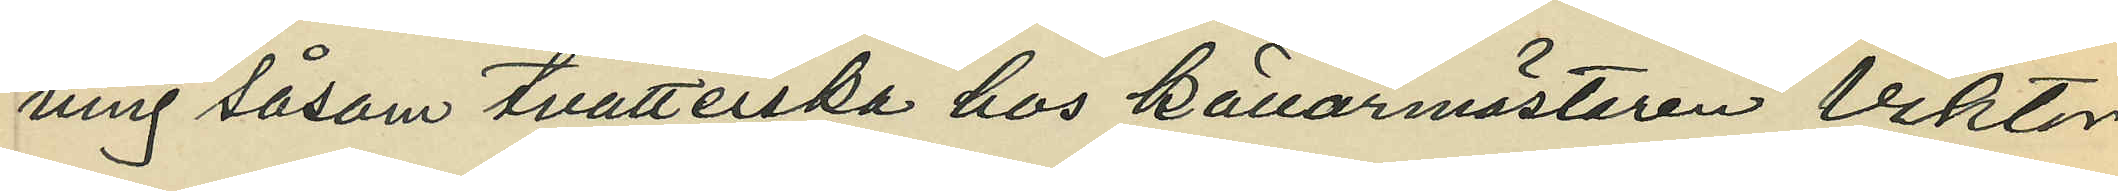ning såsom tvätterska hos källarmästaren Viktor
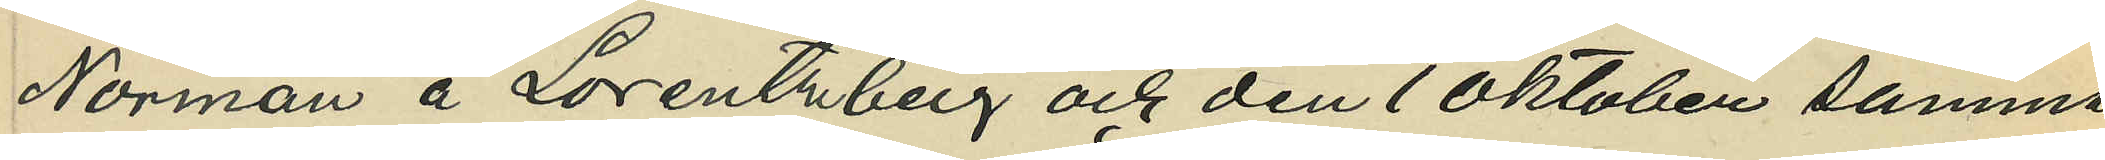Norman å Lorentzberg och den 1 Oktober samma
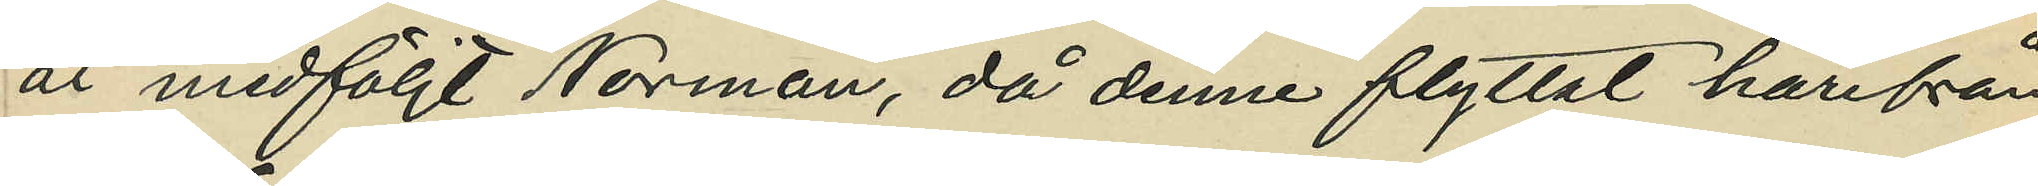år medföljt Norman. då denne flyttat härifrån
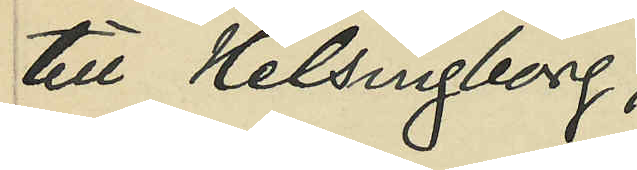till Helsingborg;
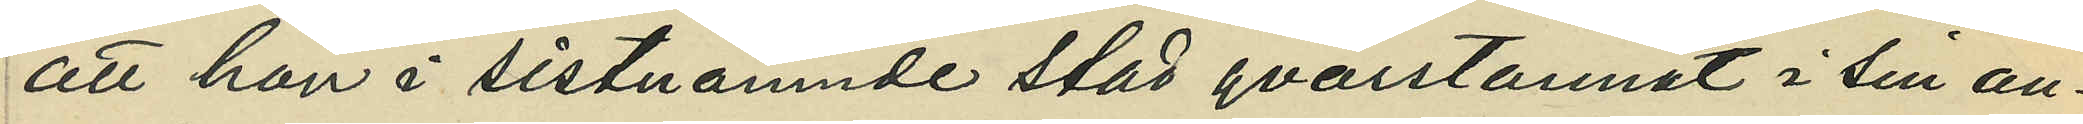att hon i sistnämnde stad qvarstannat i sin an¬
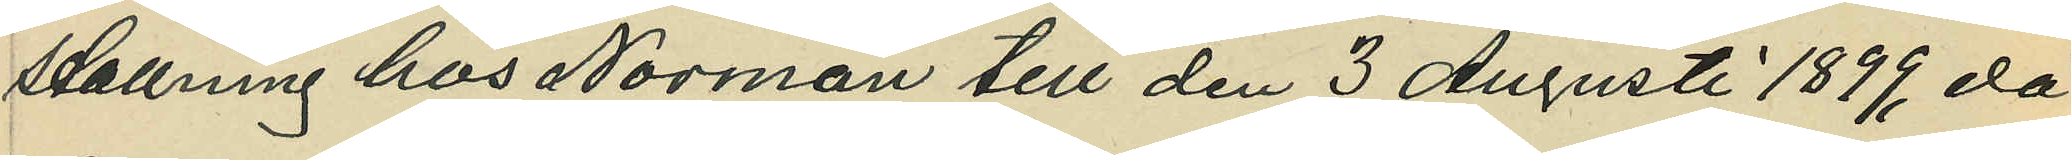ställning hos Norman till den 3 Augusti 1899 då
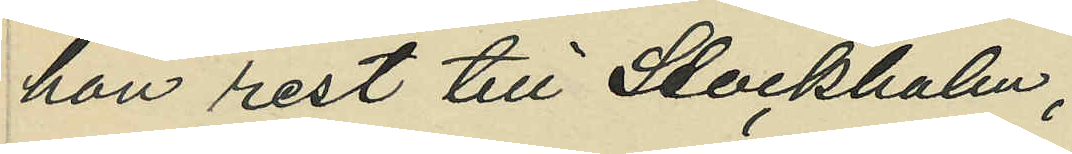rest till Stockholm;
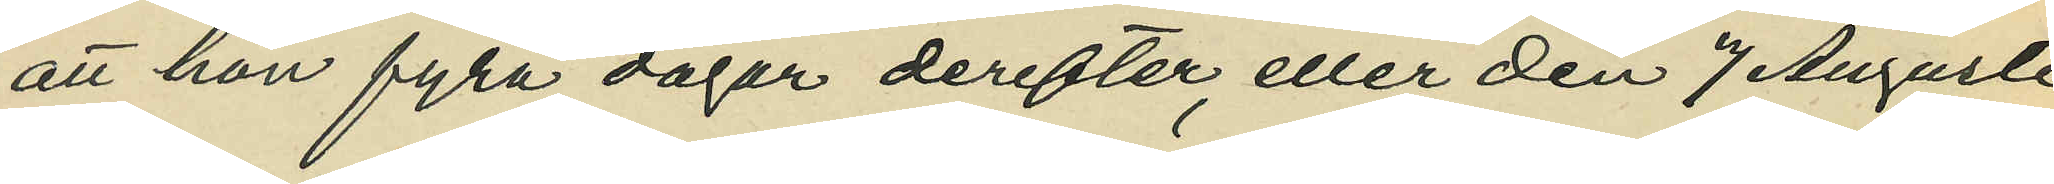att hon fyra dagar derefter, eller den 7 Augusti
